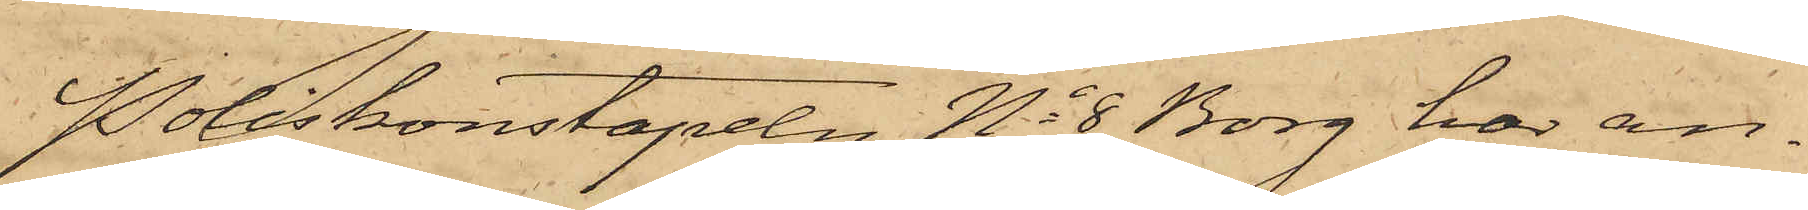Poliskonstapeln No 8 Borg har an¬
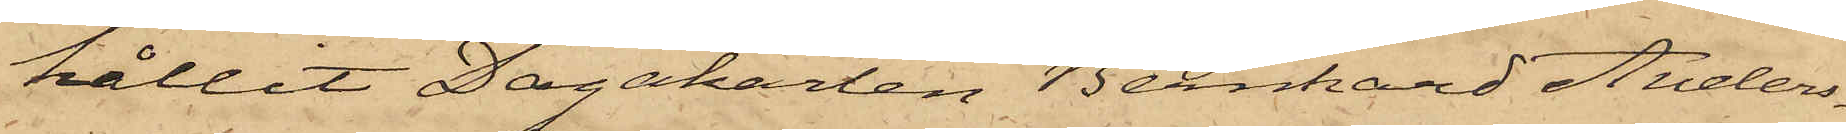hållit Dagskarlen Bernhard Anders¬
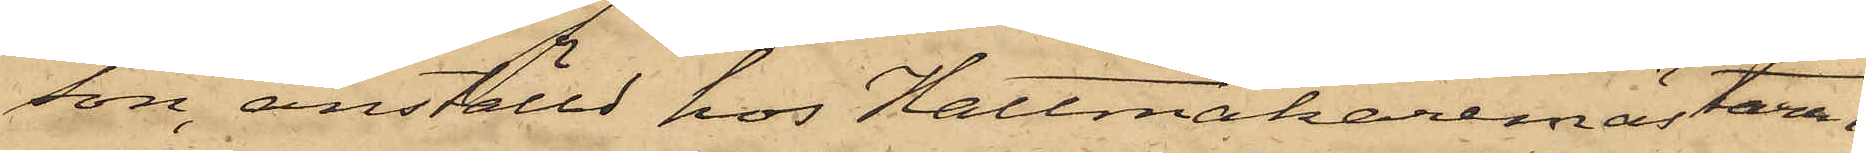son, anställd hos Hattmakaremästaren
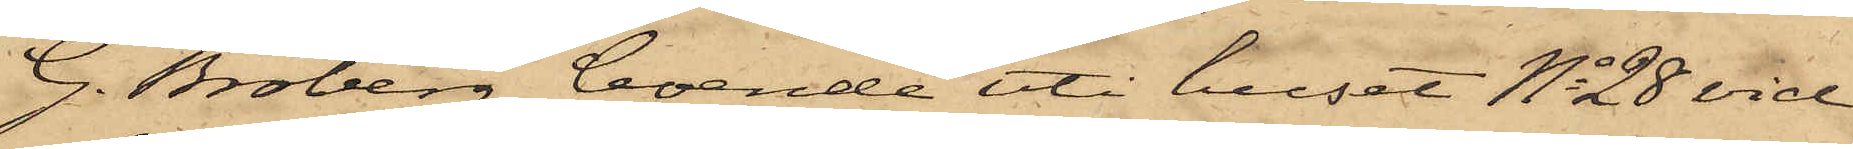G. Broberg, boende uti huset No 28 vid
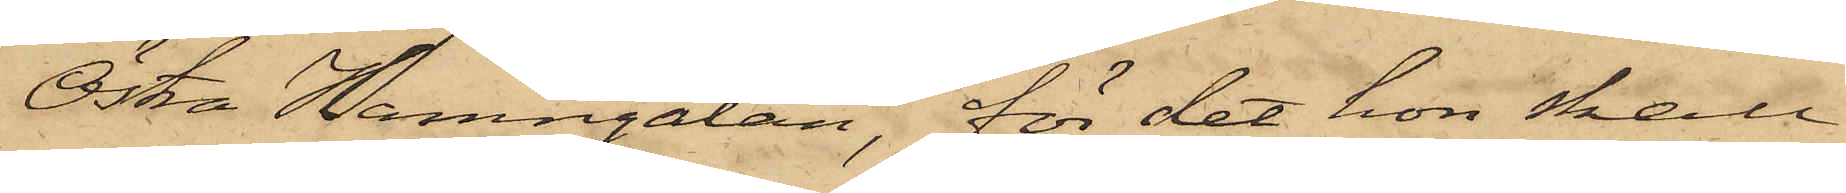Östra Hamngatan, för det hon skall
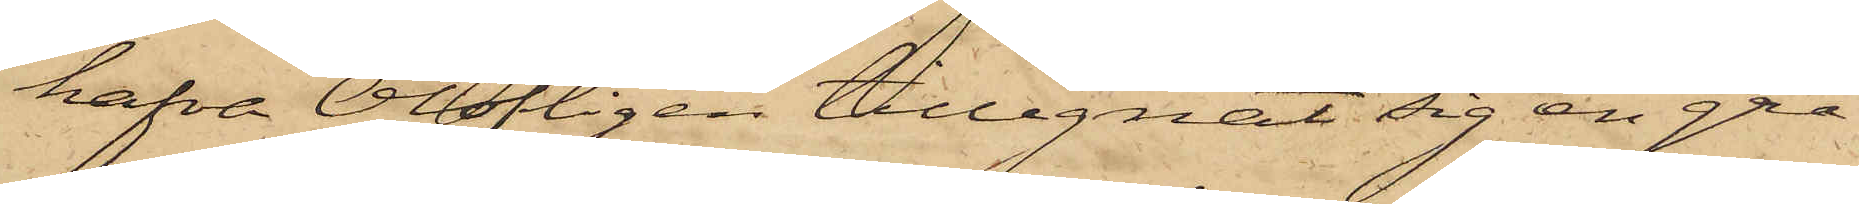hafva Olofligen tillegnat sig en grå
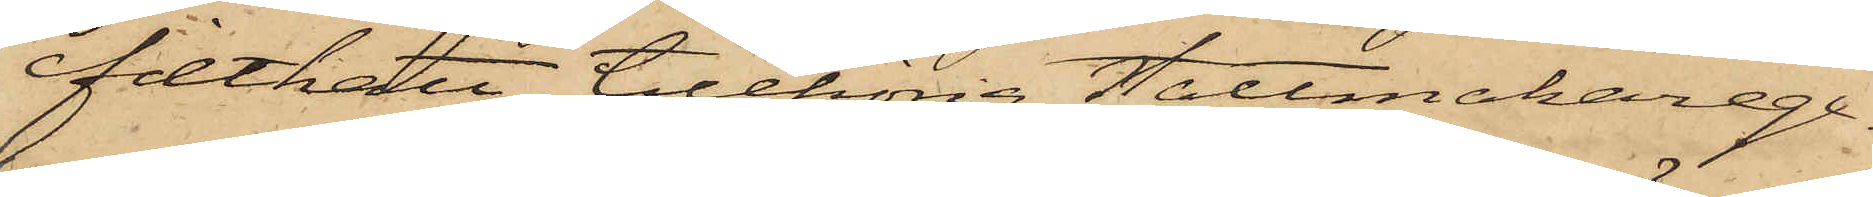filthatt tillhörig Hattmakarege¬
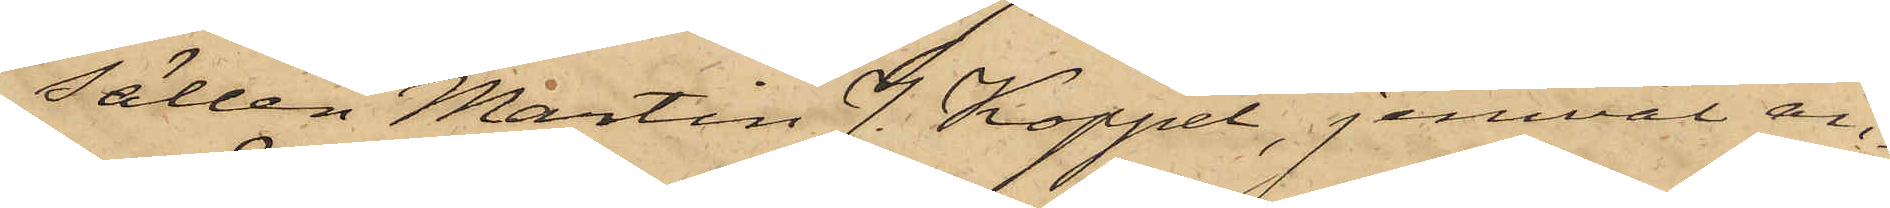sällen Martin J. Koppel, jemväl an¬
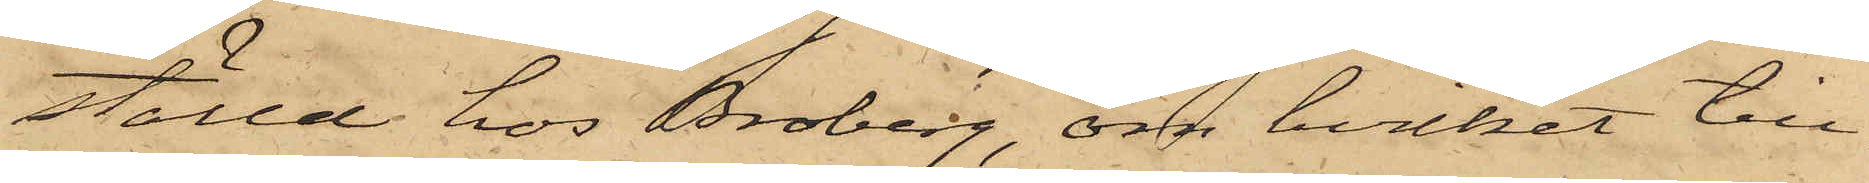ställd hos Broberg, om hvilket till¬
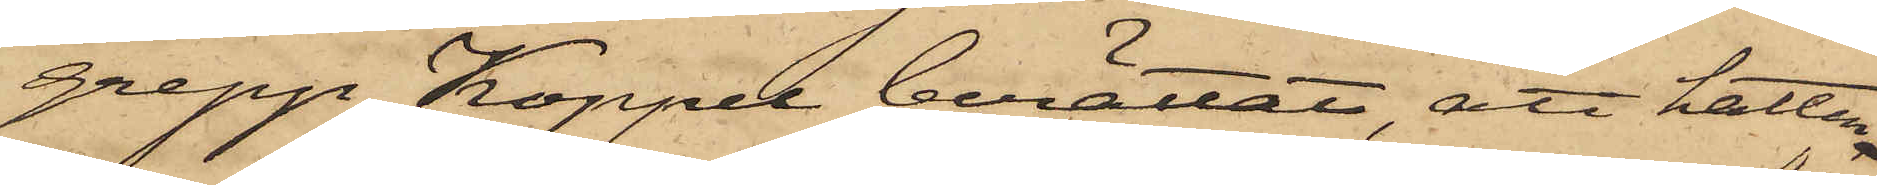grepp Koppel berättat, att hatten
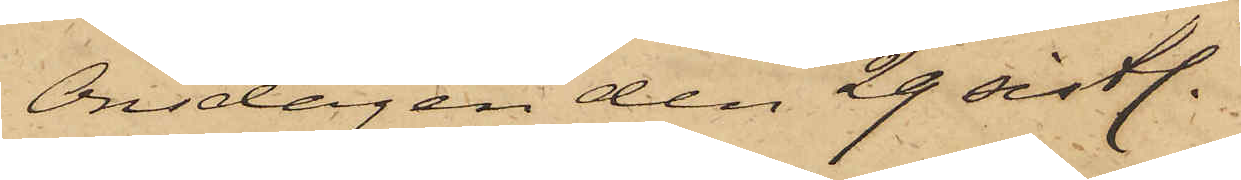Onsdagen den 29 sistl.
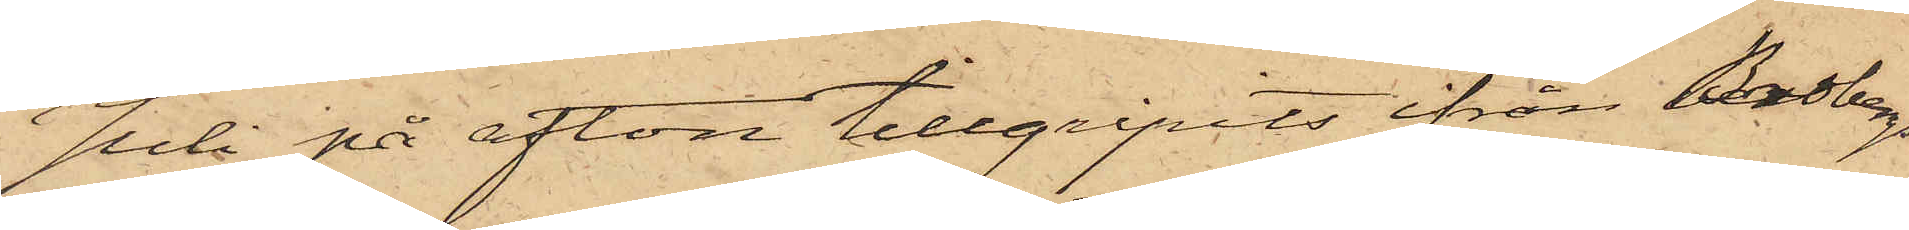Juli på afton tillgripits ifrån Brobergs
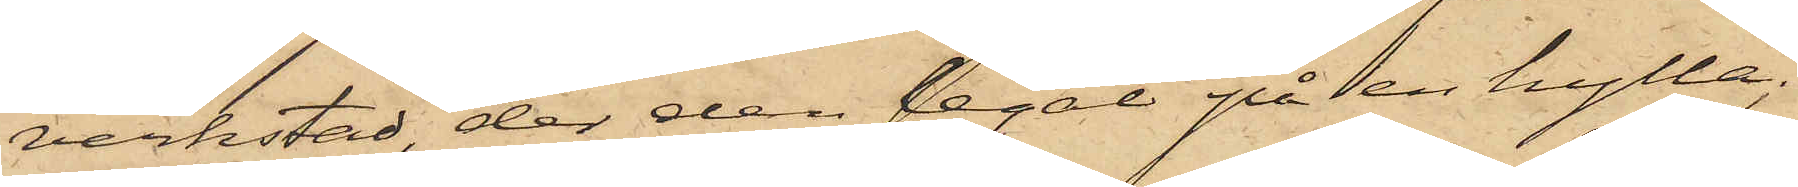verkstad, der den legat på en hylla;
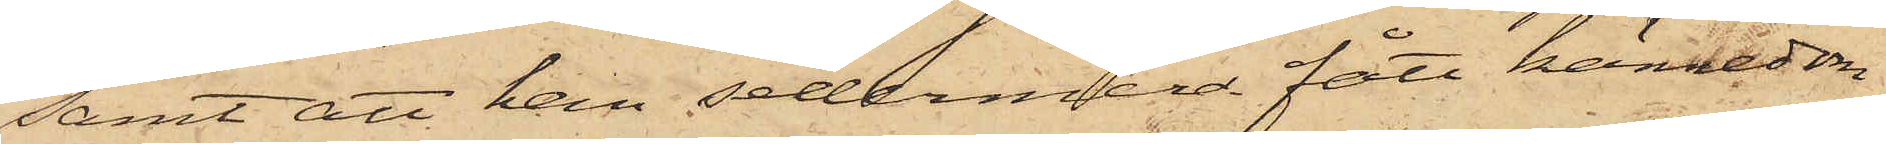samt att han sedermera fått kännedom
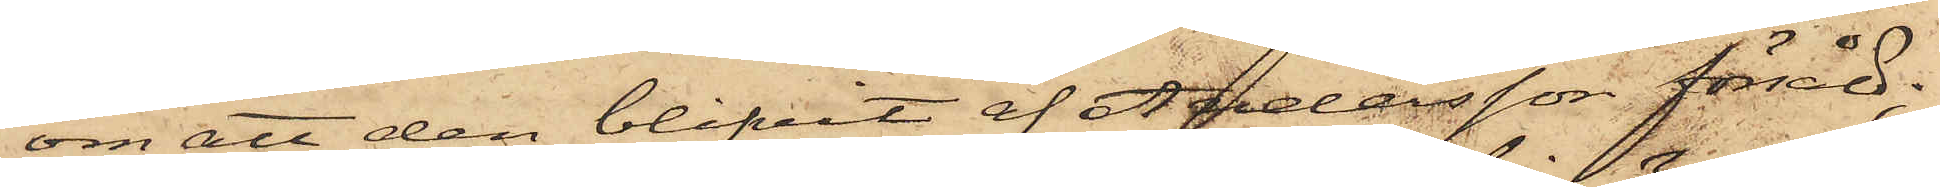om att den blifvit af Andersson försåld;
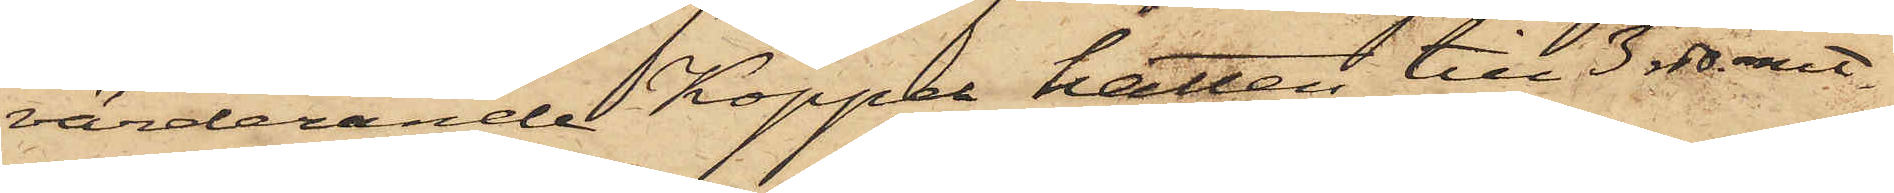värderande Koppel hatten till 3 rdr. rmt.
